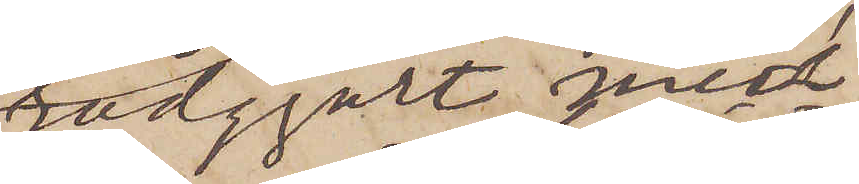rådgjort med
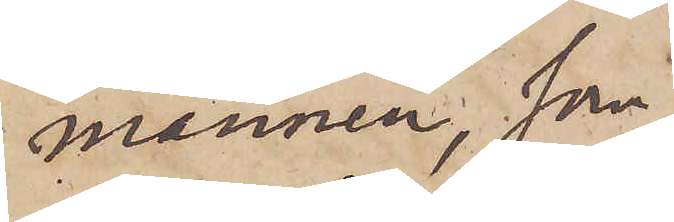mannen, som
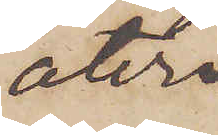åter¬
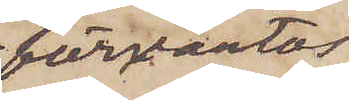förväntas
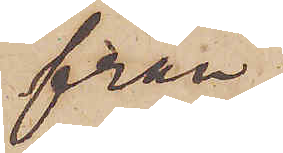från
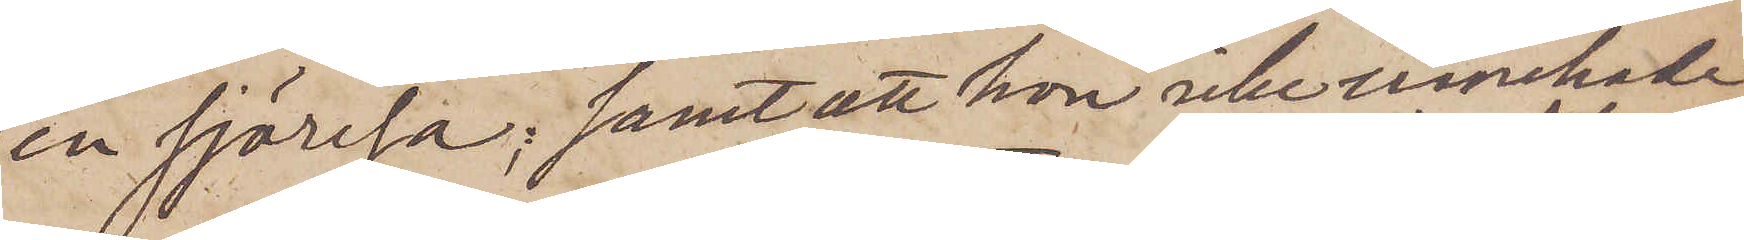en sjöresa; samt att hon icke innehade
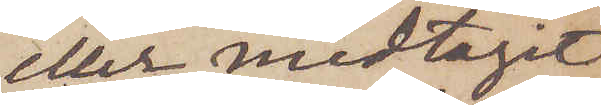eller medtagit
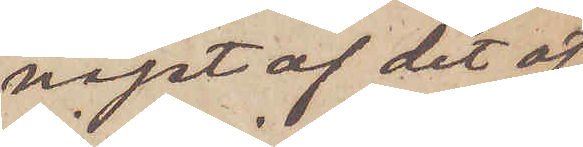något af det öf¬
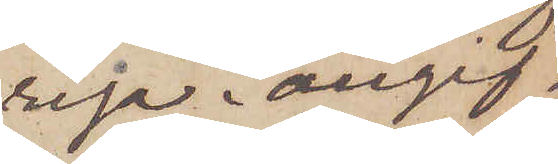riga i angif¬
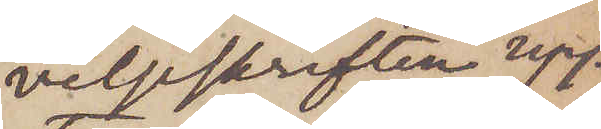velseskriften upp¬
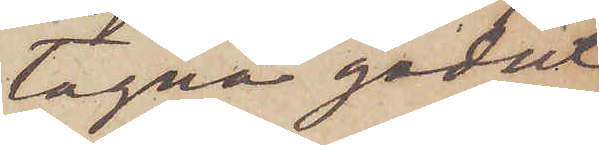tagna godset
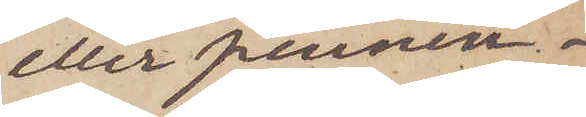eller pennin¬
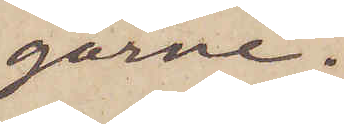garne.
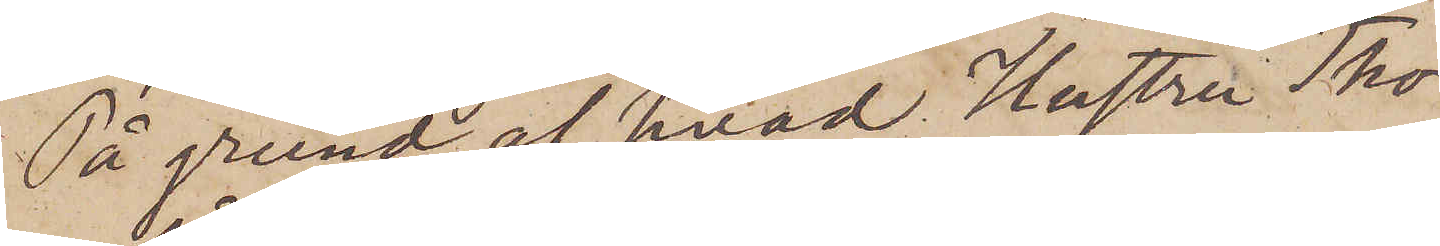På grund af hvad Hustru Tho¬
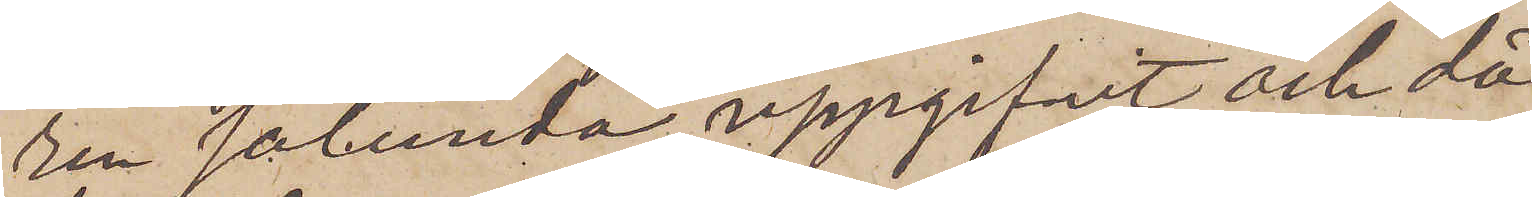rén sålunda uppgifvit och då
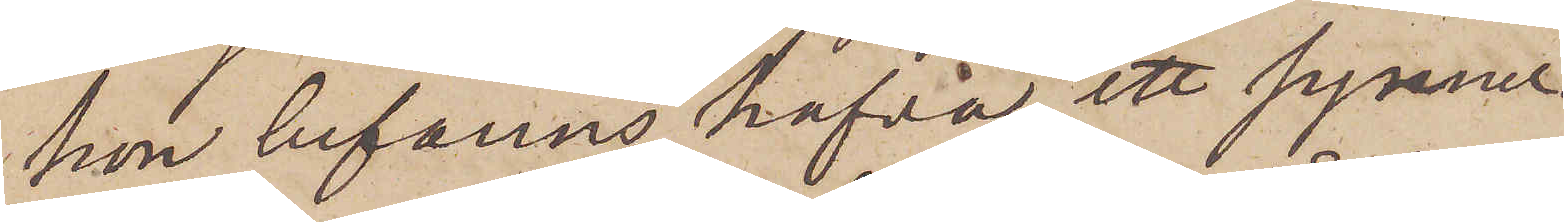hon befanns hafva ett synner¬
